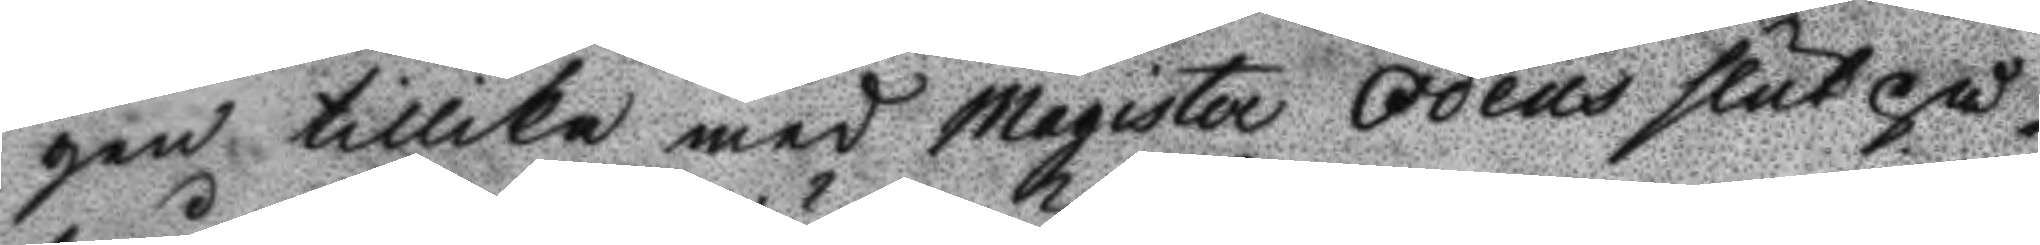gen tillika med Magister Odéns slut på¬
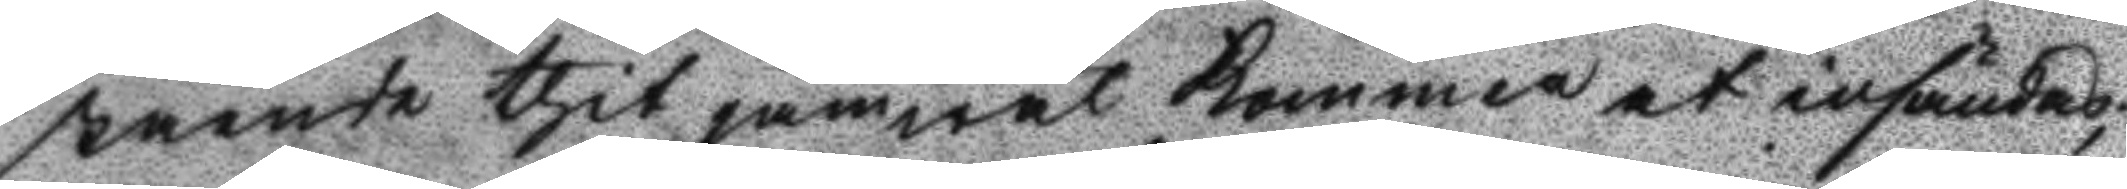stående thit jämwäl kommer at insändas;
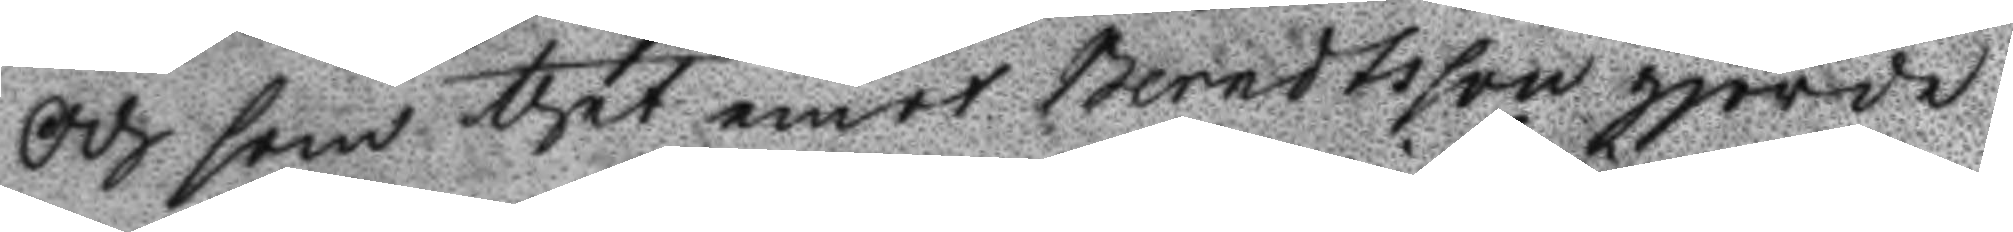Och som thet emot Berndtsson gjorde
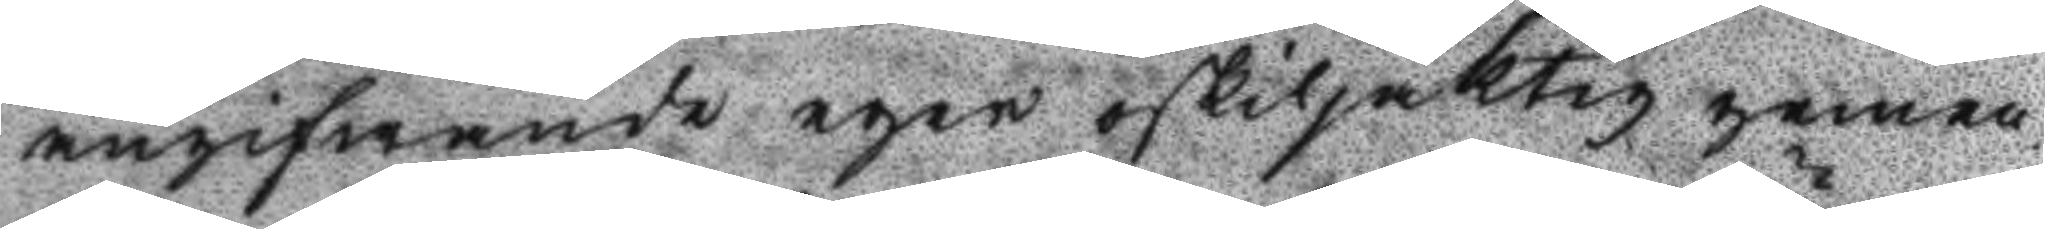angifwande eger oskiljaktig gemen¬
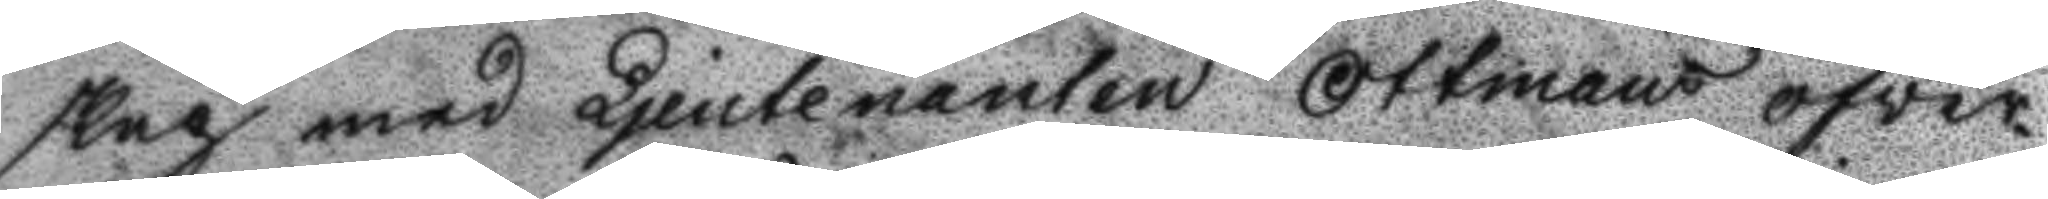skap med Ljeutenanten Ottmans öfver¬
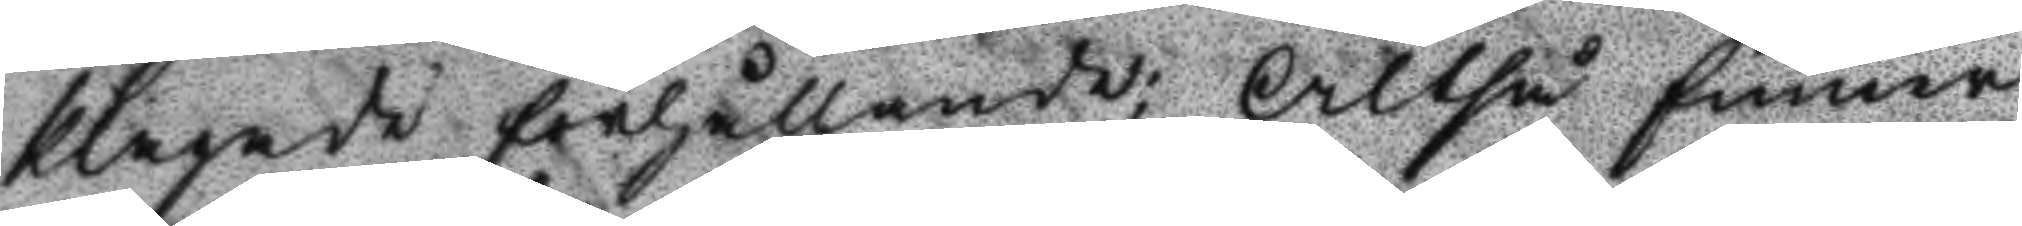klagade förhållande; Altså finner
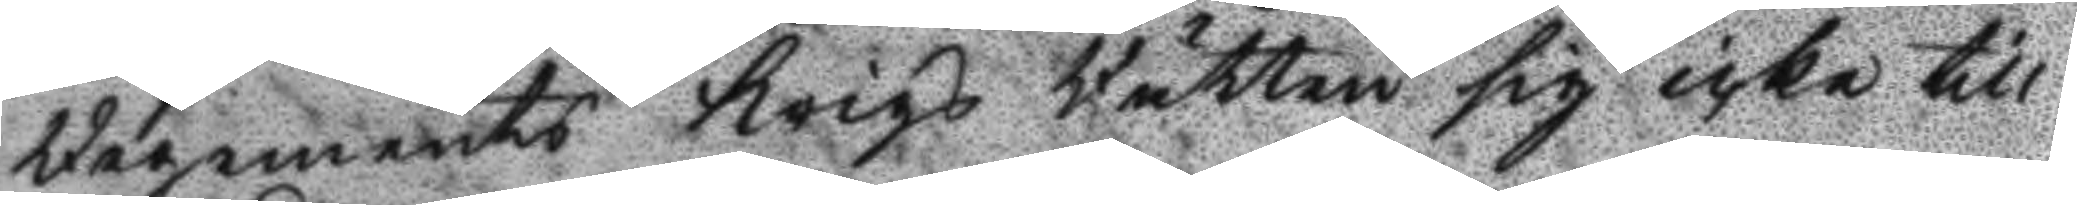Regements Krigs Rätten sig icke till
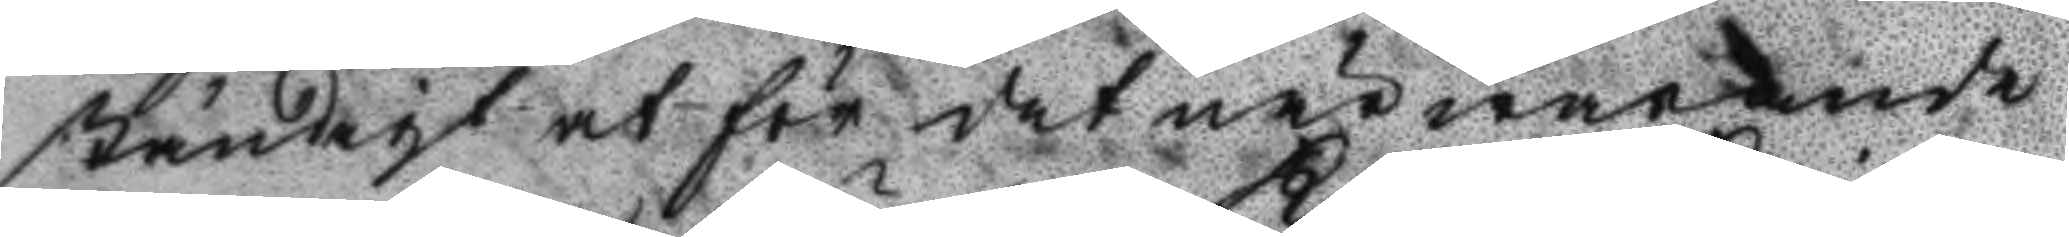ständigt at för det närwarande
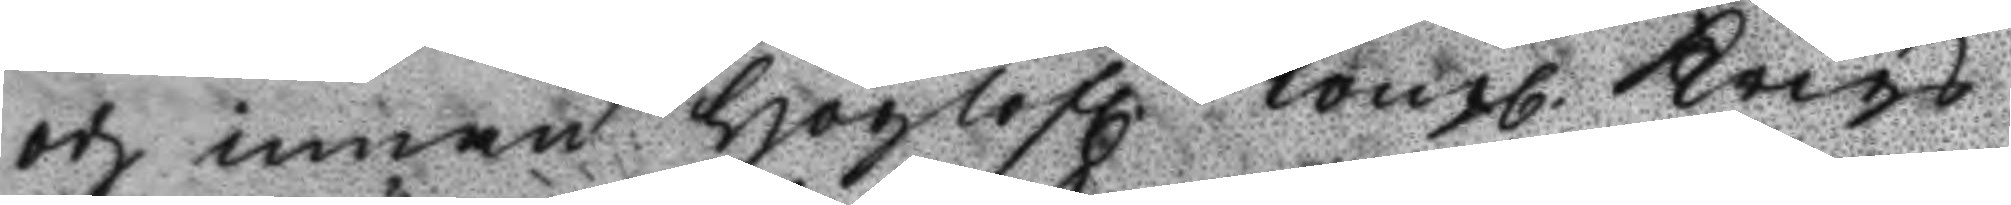och innan Höglofl. Kongl. Krigs
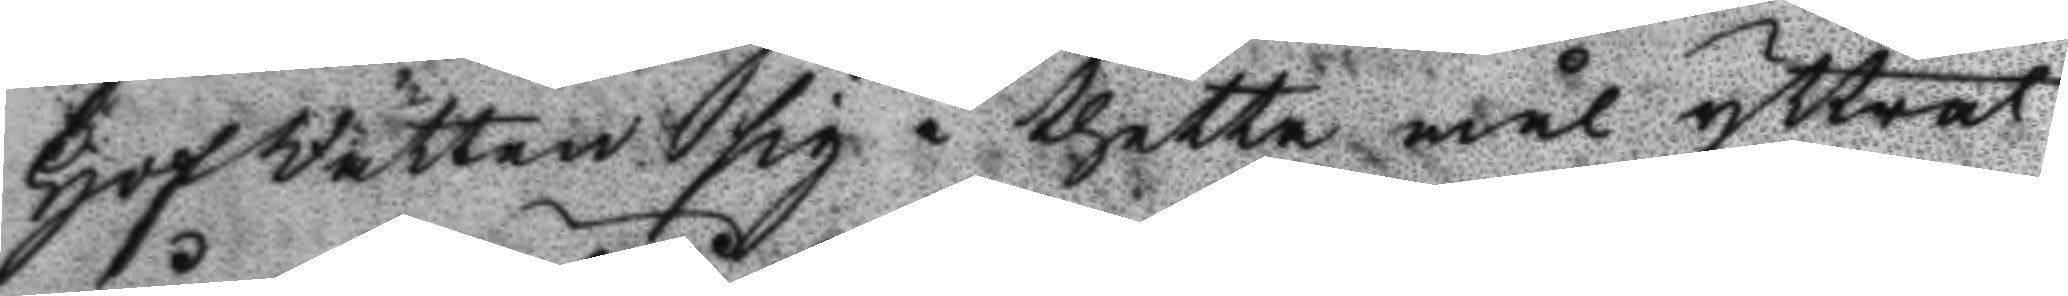HofRätten sig i thetta mål yttrat
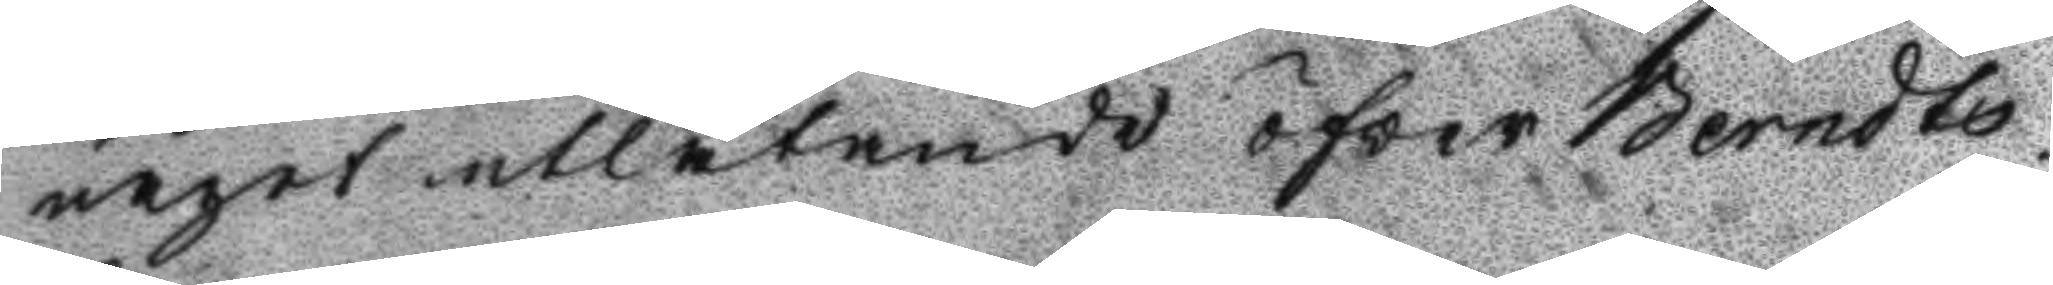något utlåtande öfver Berndts¬
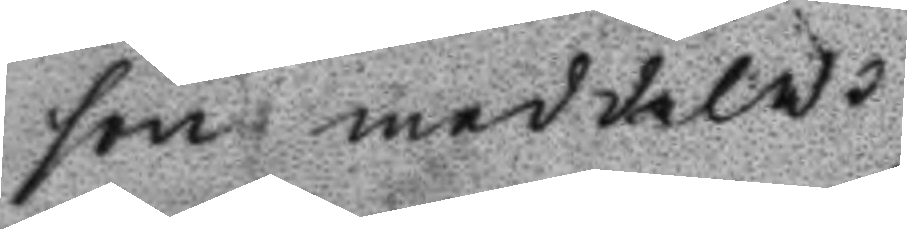son meddela.
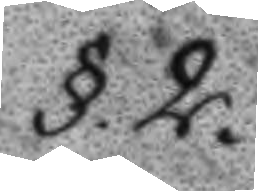§.2.
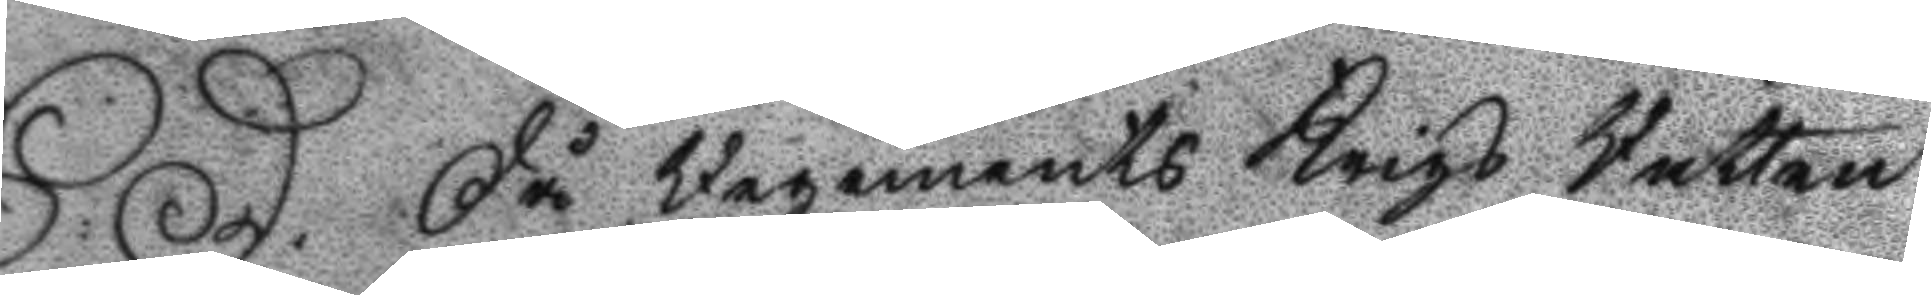S:D. Då Regements Krigs Rätten
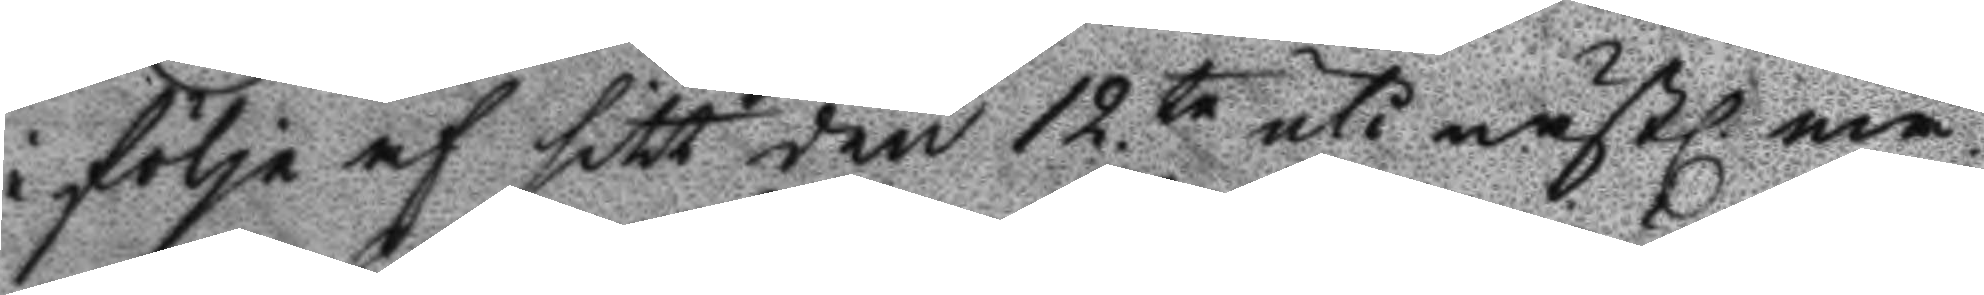i följe af sitt den 12.te uti nästl. må¬
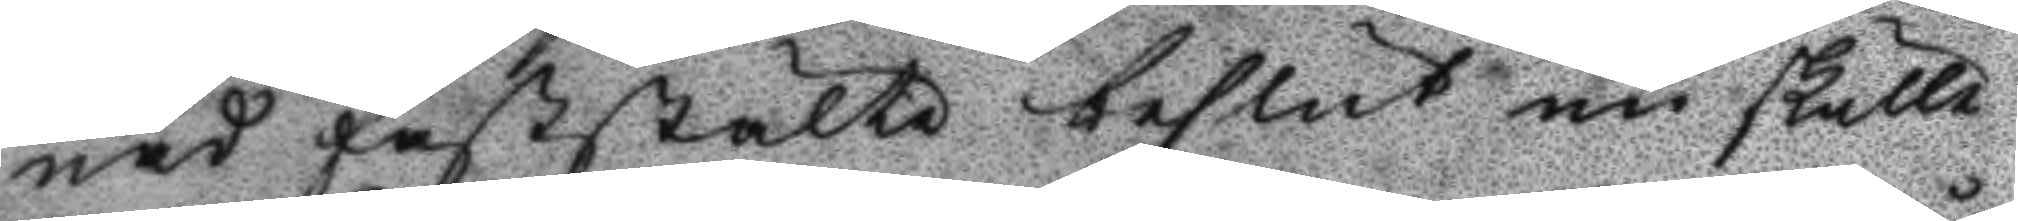nad faststälte beslut nu skulle
